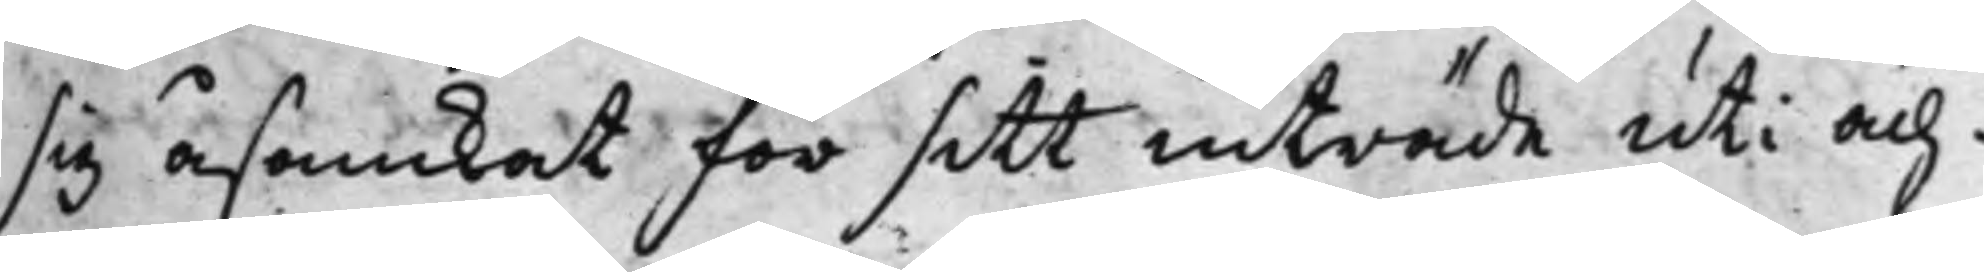sig åsamkat för sitt inträde uti äch¬
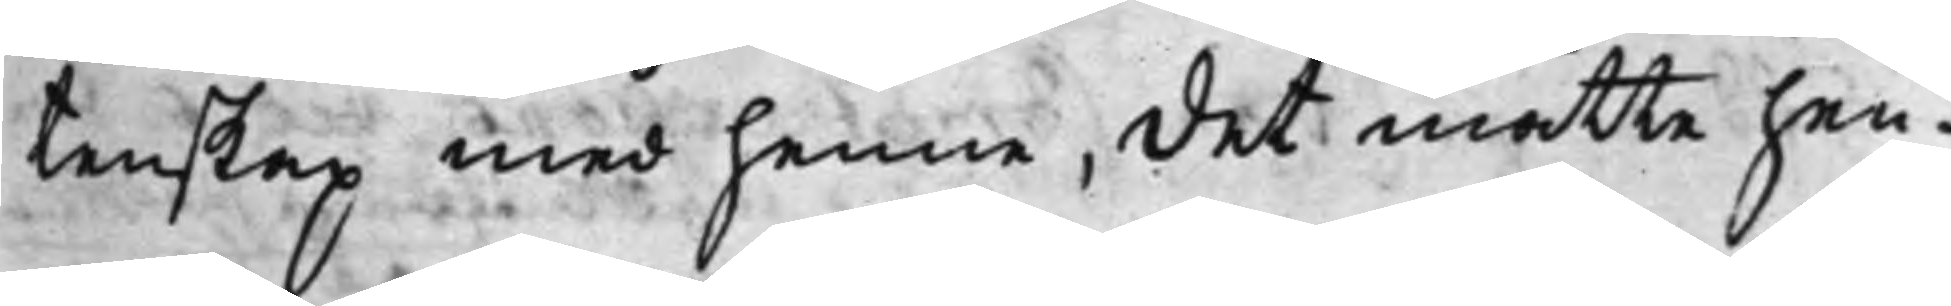tenskap med henne, det måtte hen¬
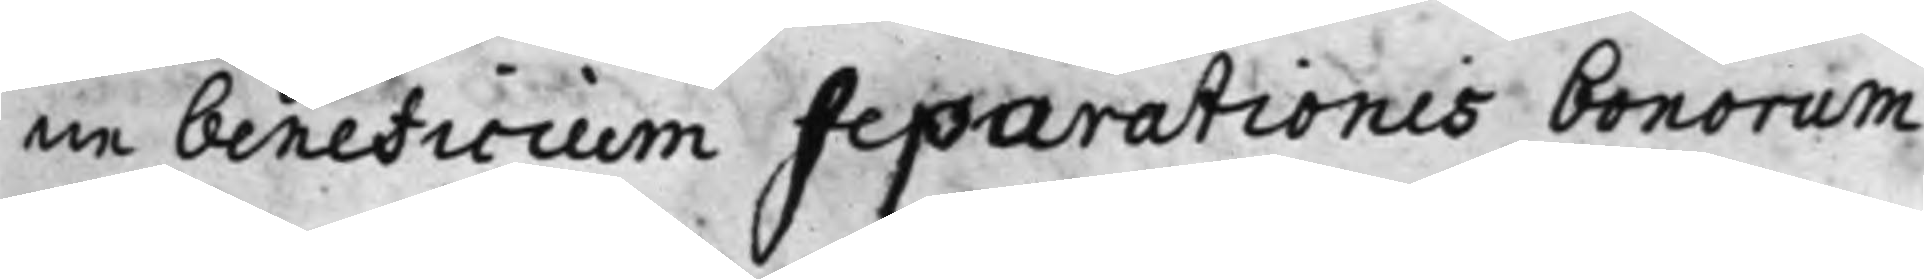ne beneficium separationis bonorum
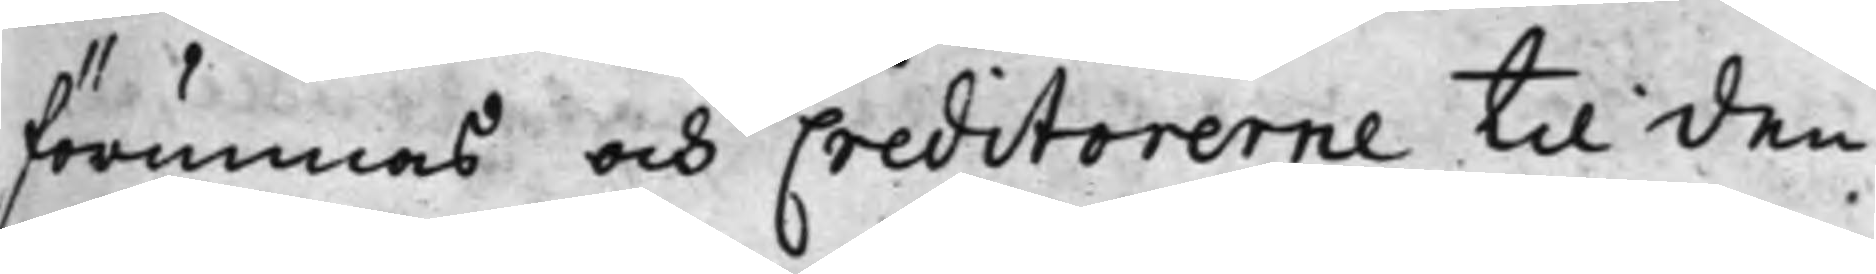förunnas och Creditorerne til den
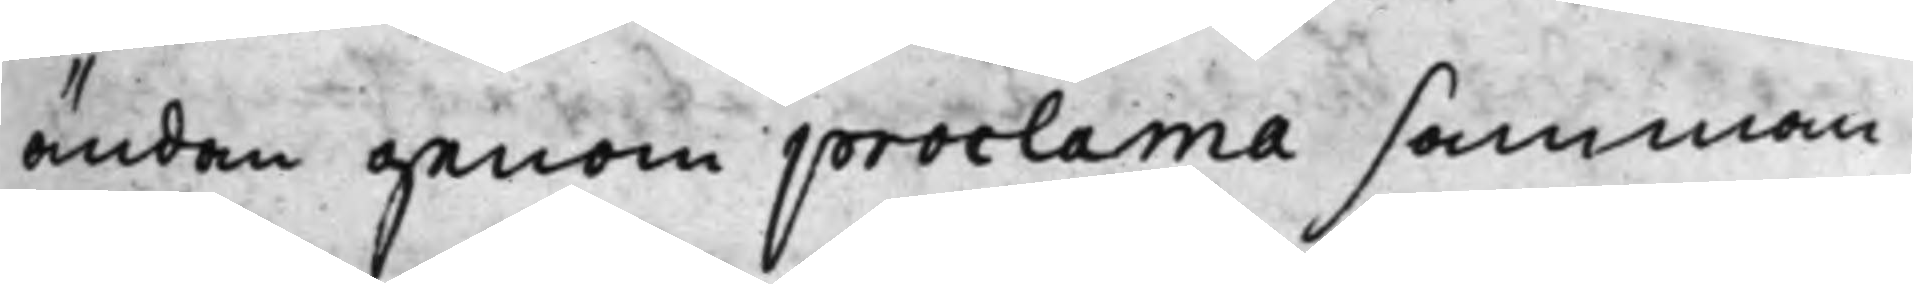ändan genom proclama samman¬
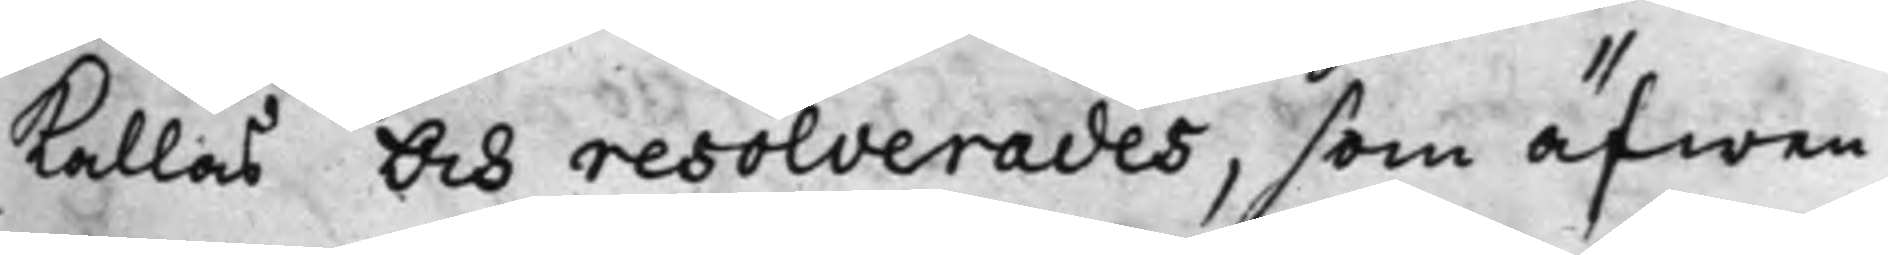kallas och resolverades, som äfwen
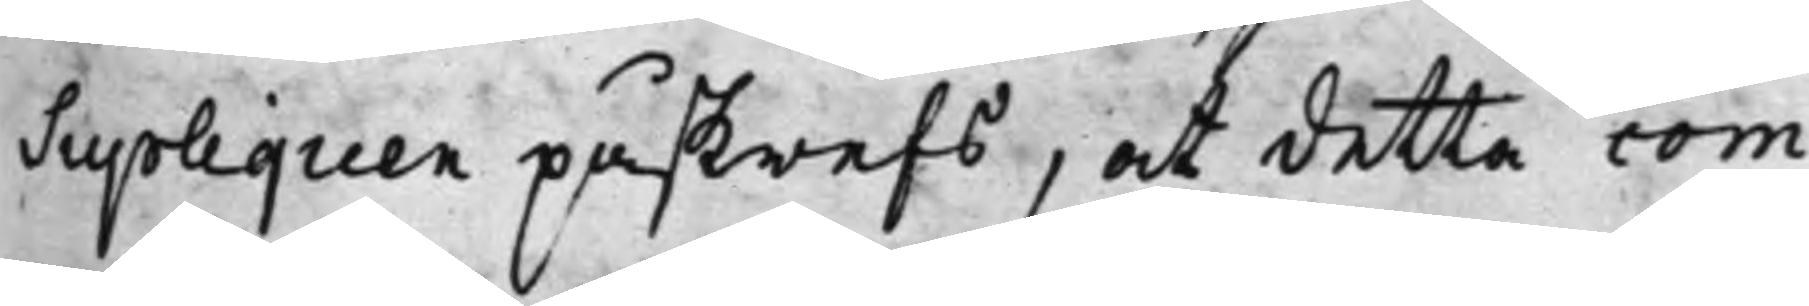Supliquen påskrefs, at detta com¬
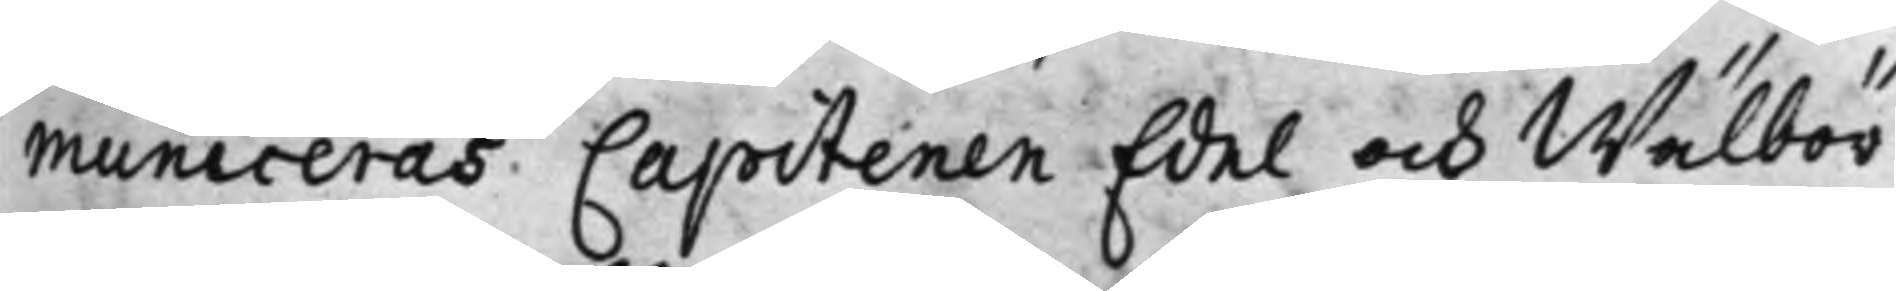municeras Capitenen Edel och Wälbör¬
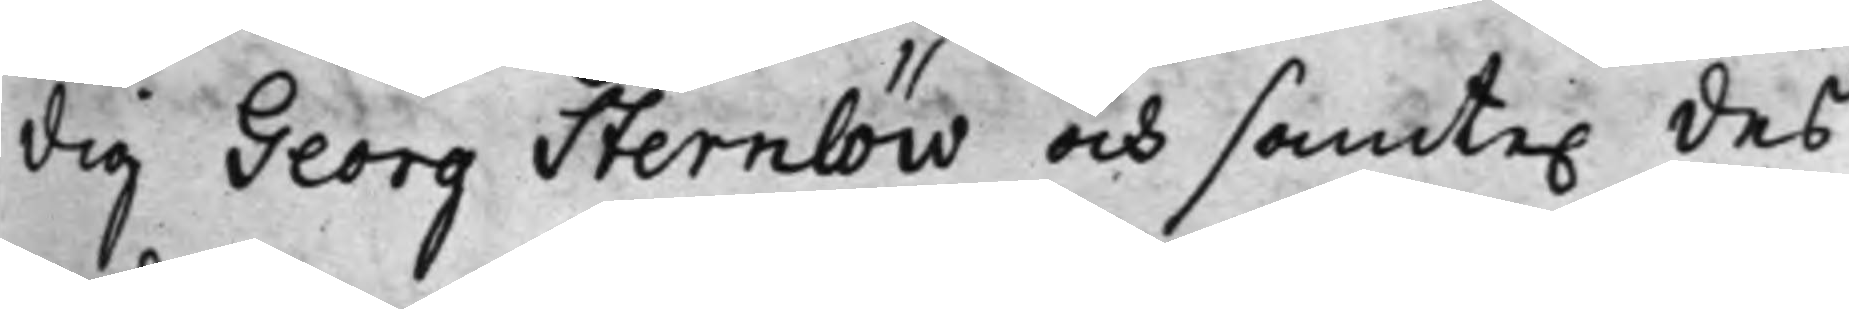dig Georg Sternlöw och samte. des 
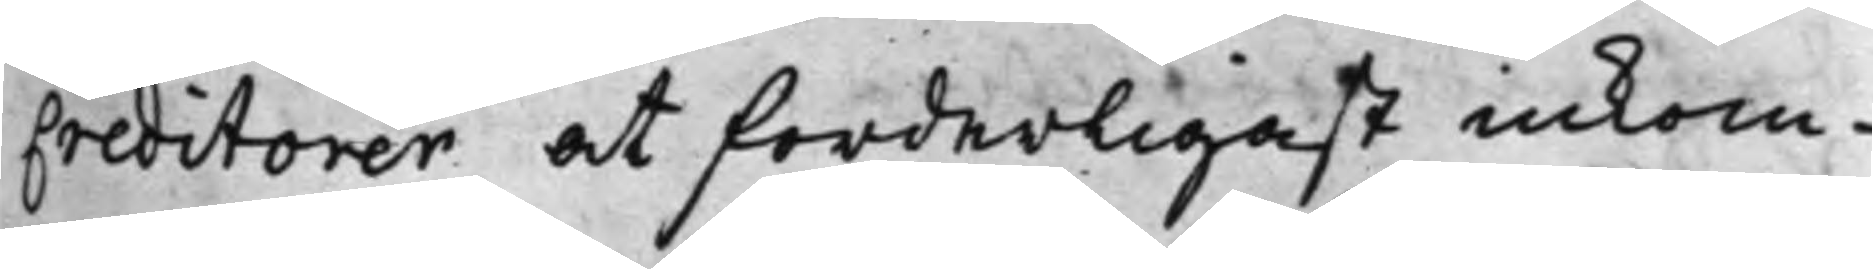Creditorer at forderligast inkom¬
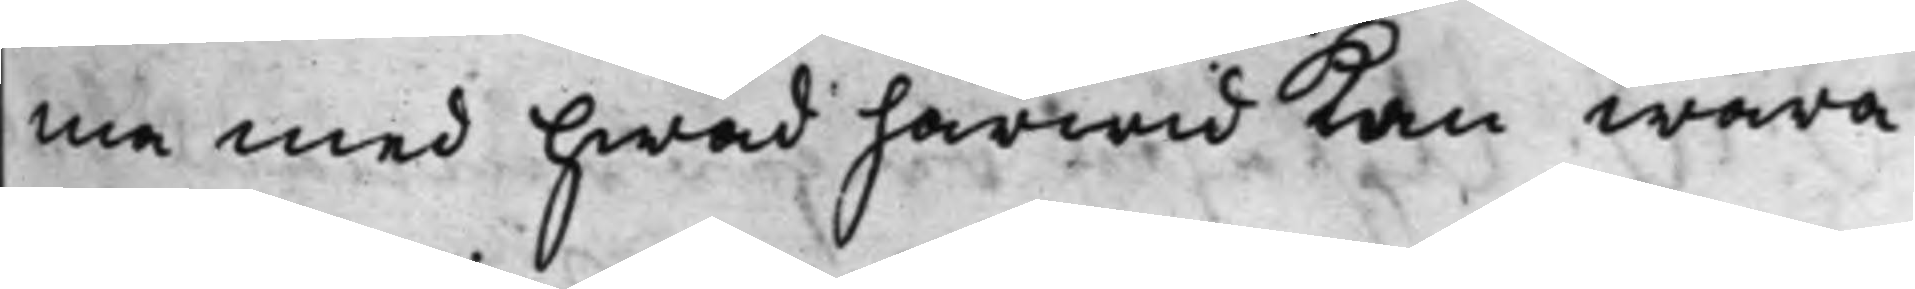ma med hwad härwid kan wara
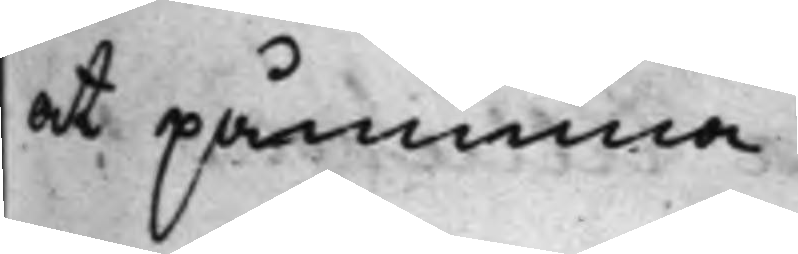at påminna.
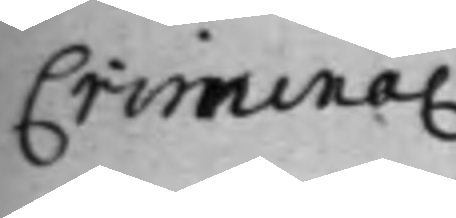Crimina.
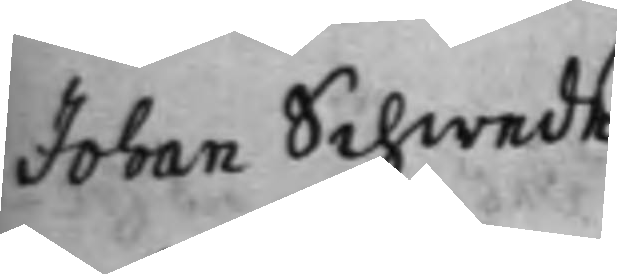Johan Schwede
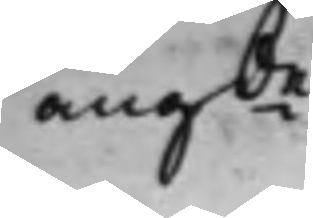angde 
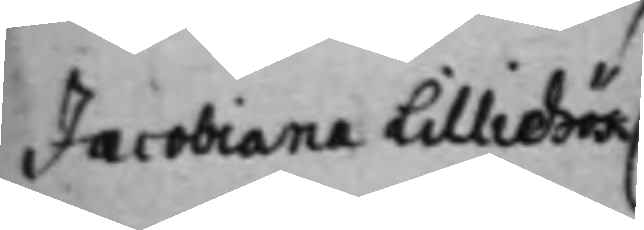Jacobiana Lilliehök
